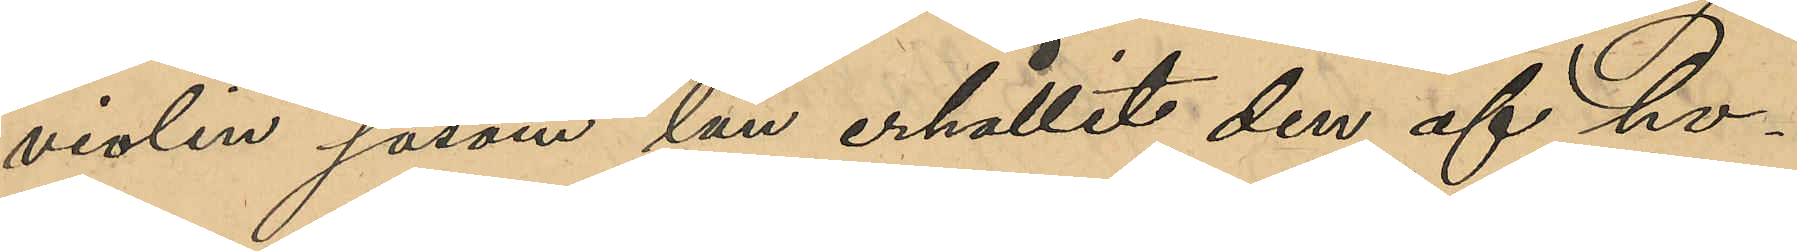violin såsom lån erhållit den af ho¬
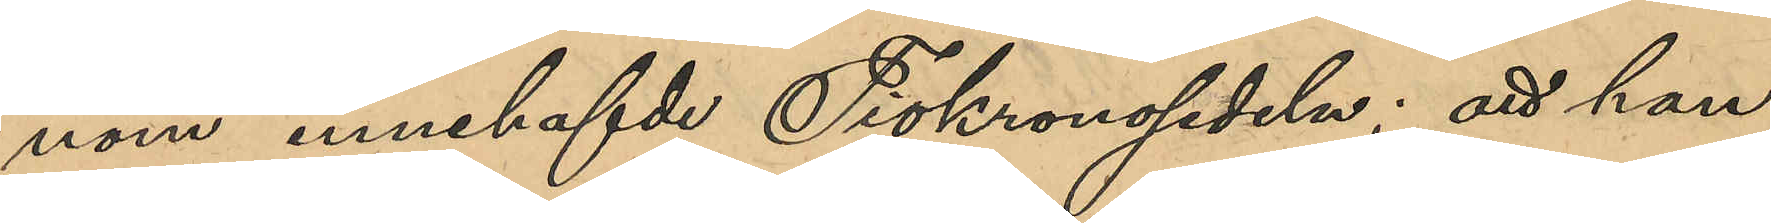nom innehafvde Tiokronosedeln; att han
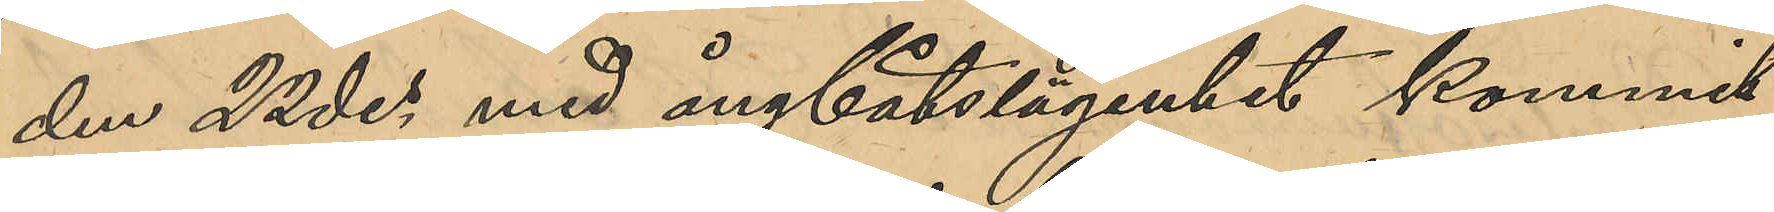den 22 des med ångbåtslägenhet kommit
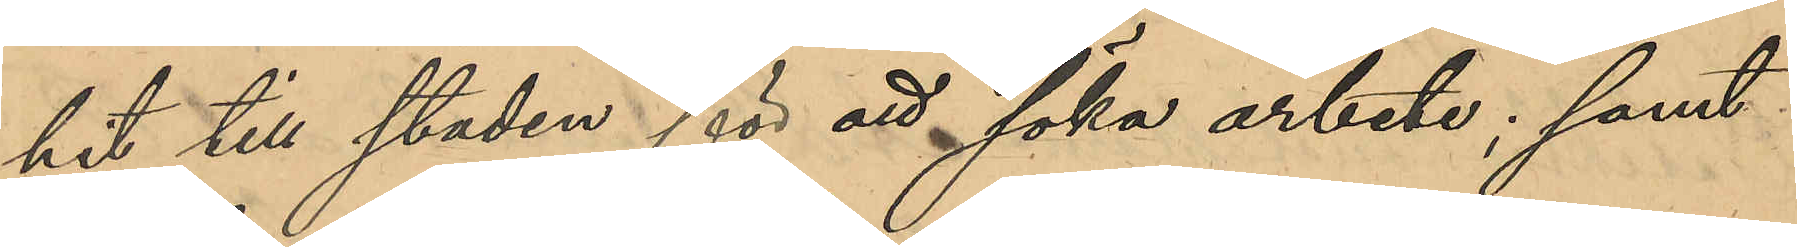hit till staden för att söka arbete; samt
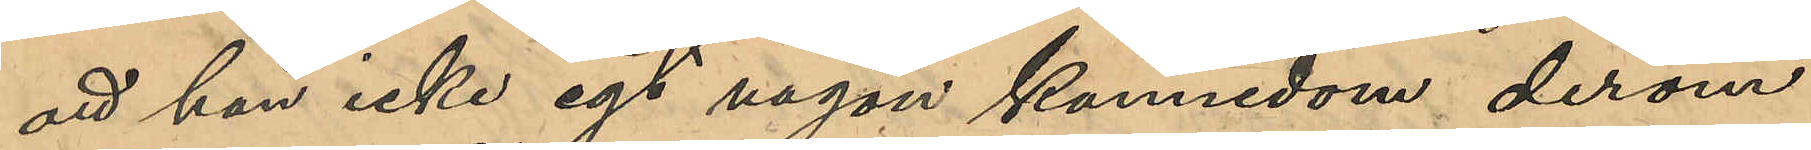att han icke egt någon kännedom derom
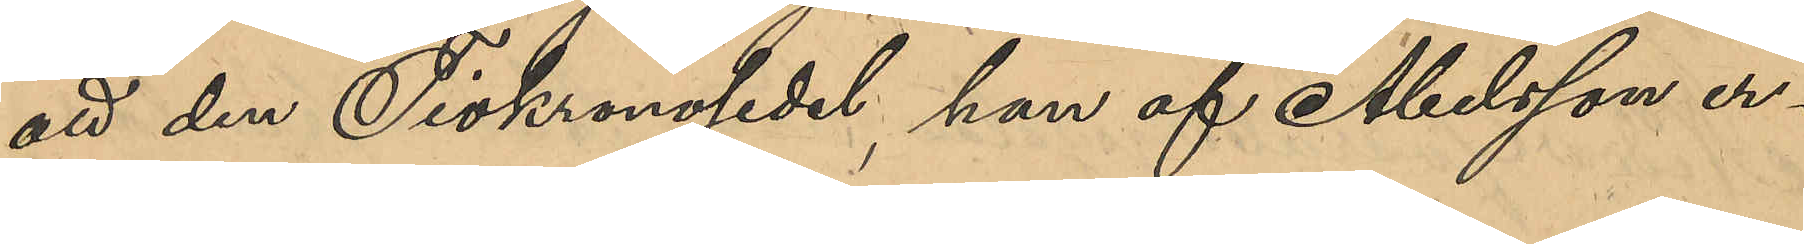att den Tiokronsedel, han af Abelsson er¬
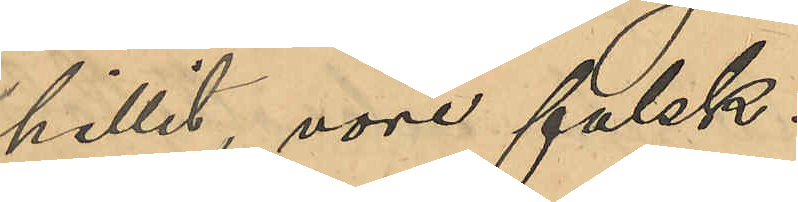hållit vore falsk.
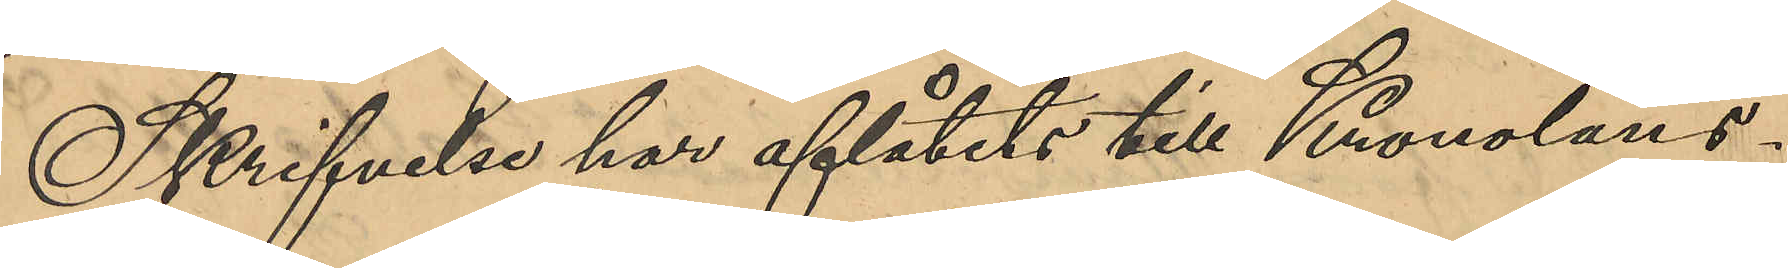Skrifvelse har aflåtits till Kronoläns¬
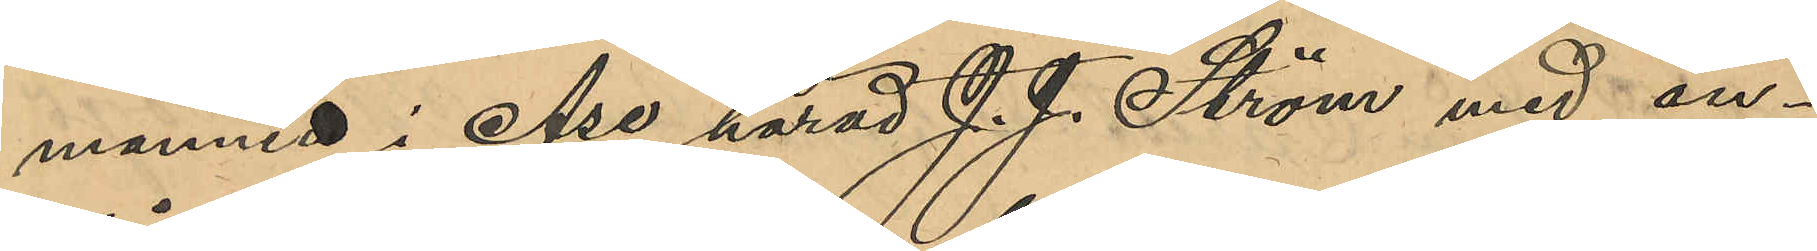mannen i Åse härad J. J. Ström med an¬
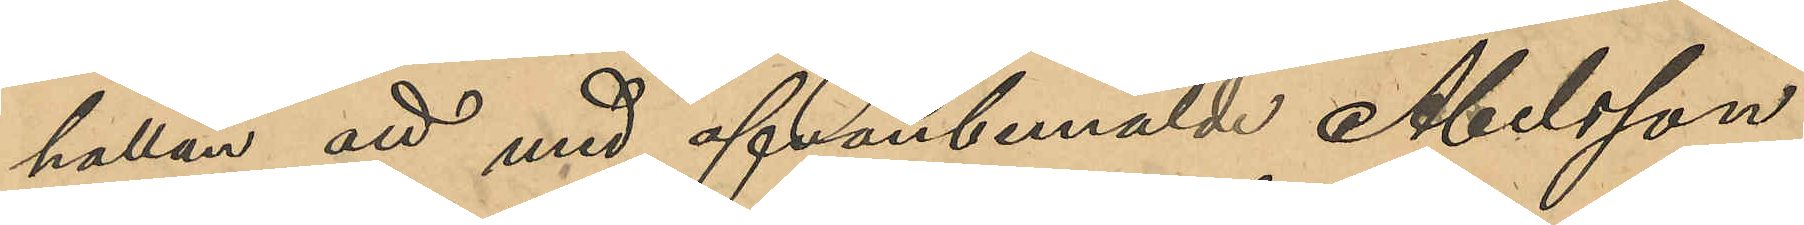hållan att med ofvanbemälde Abelsson
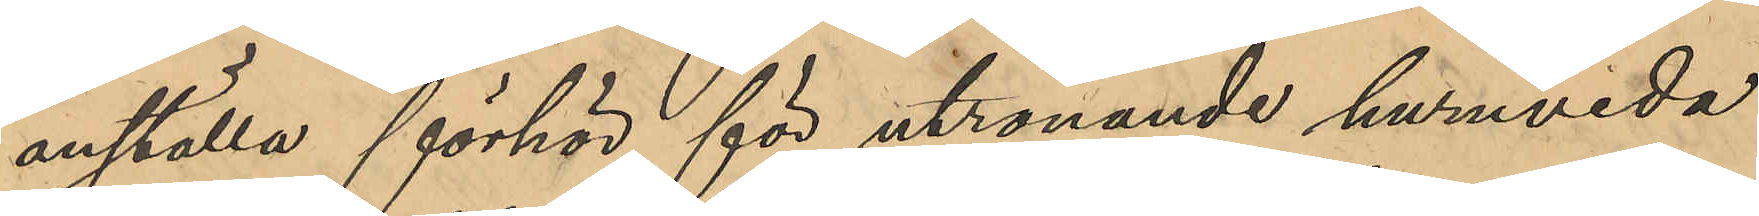anställa förhör för utrönande huruvida
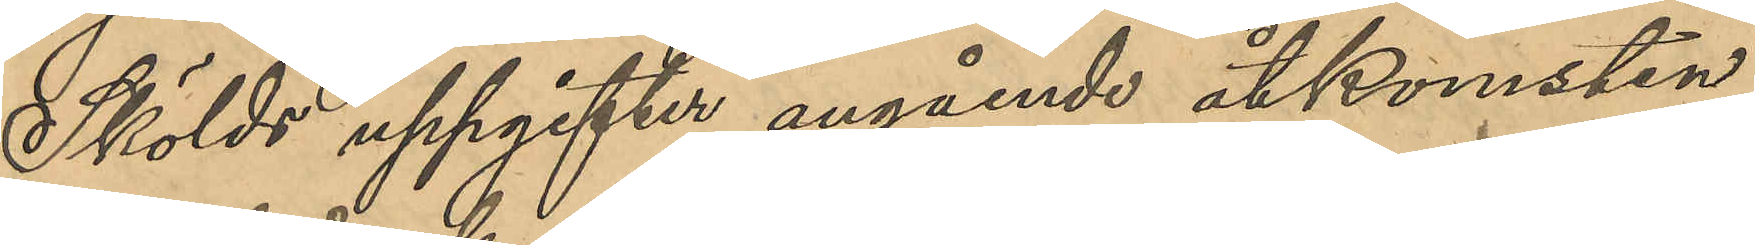Skölds uppgifter angående åtkomsten
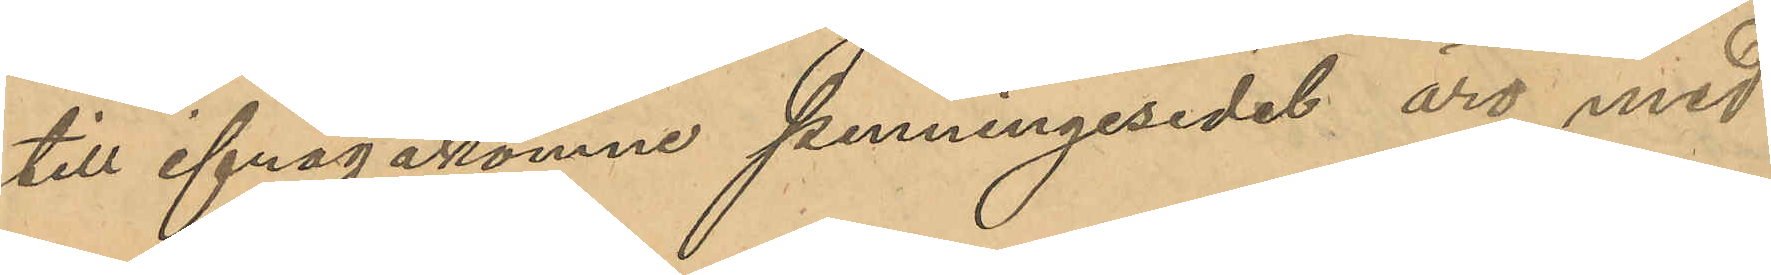till ifrågakomne penningsedel äro med
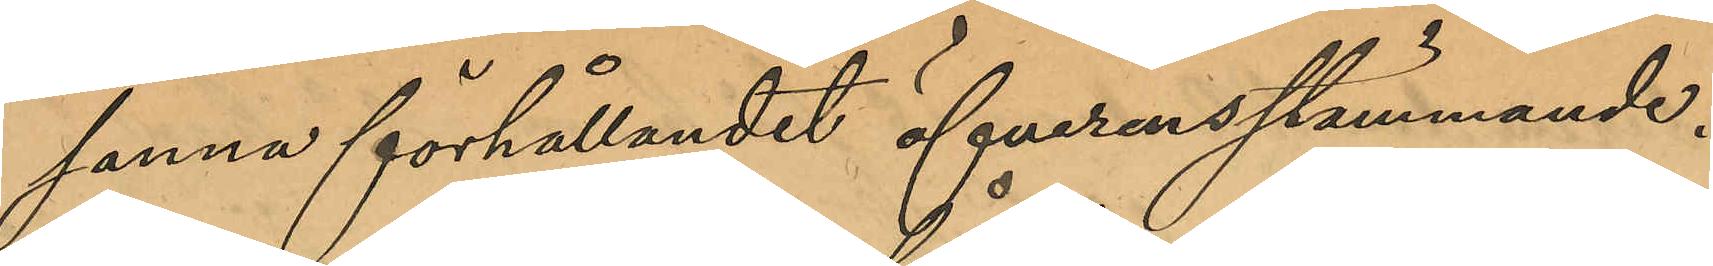sanna förhållandet öfverensstämmande.
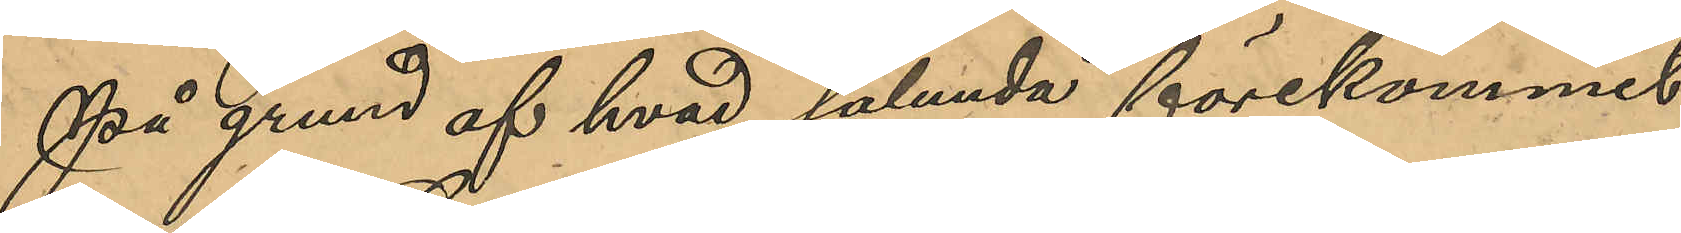På grund af hvad sålunda förekommit
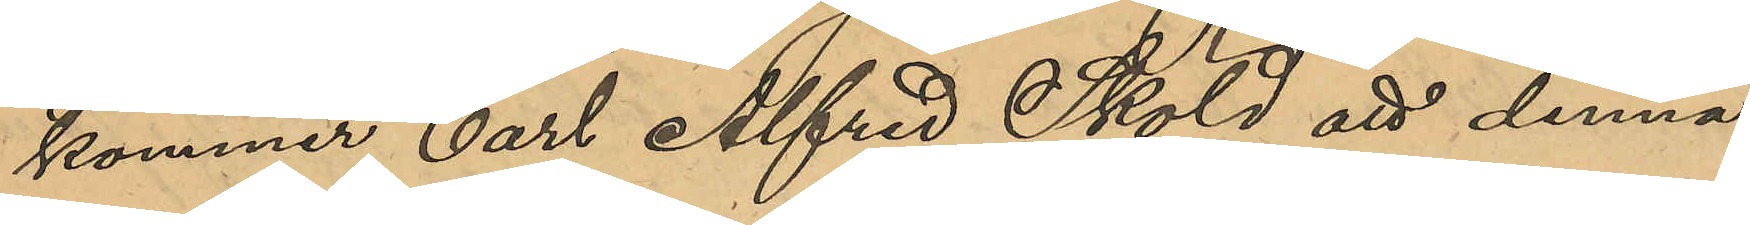kommer Carl Alfred Sköld att denna
